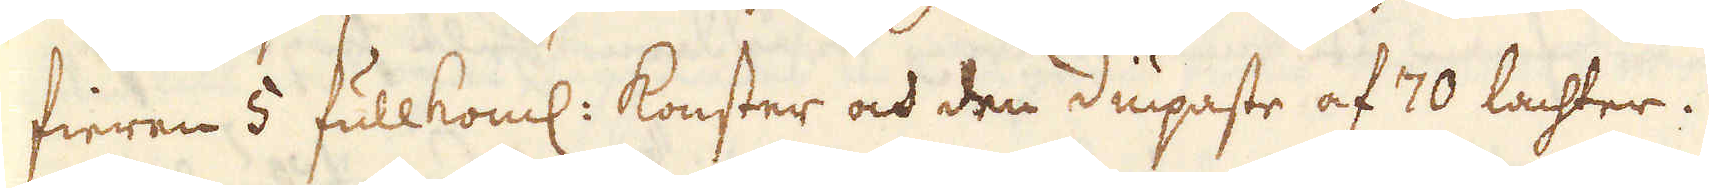fieren 5 fullkoml: konster och den diupaste af 70 lachter.
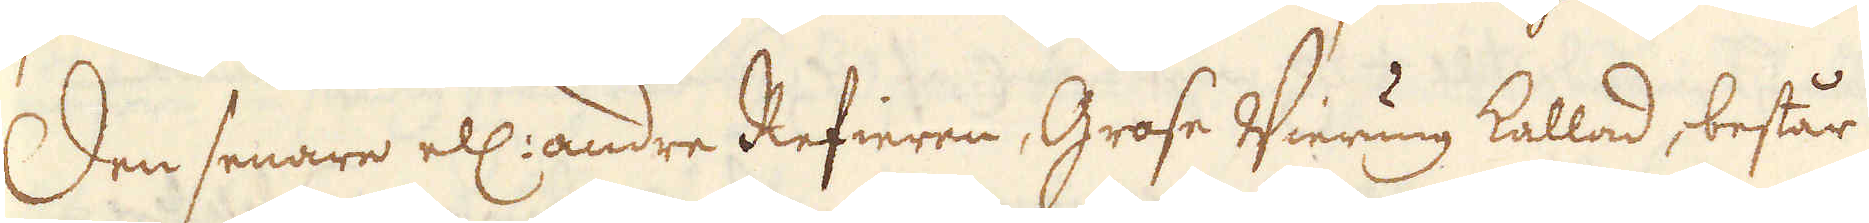Den senare ell: andre Refieren, Grose Wierung kallad, består
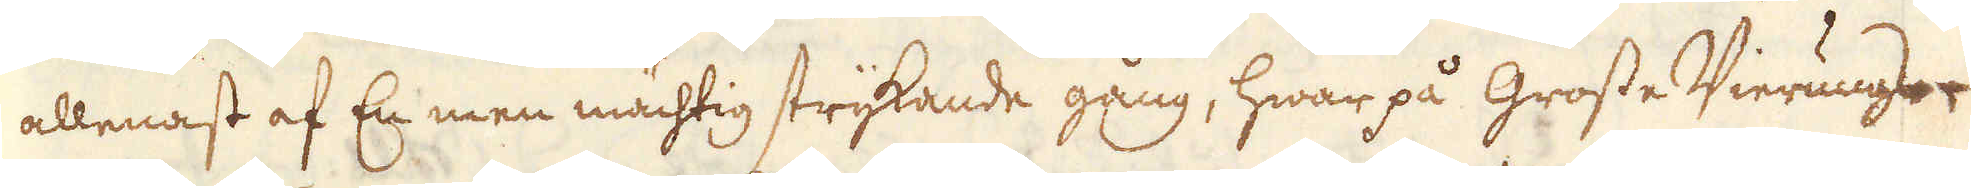allenast af En men mächtig strykande gång, hwar på grosse Wierungs-
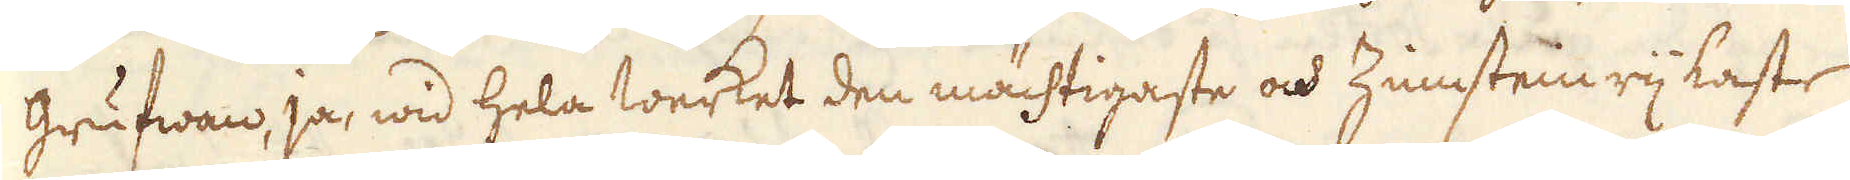grufwan, ja, wid hela werket den mächtigaste och Zinstein rijkaste
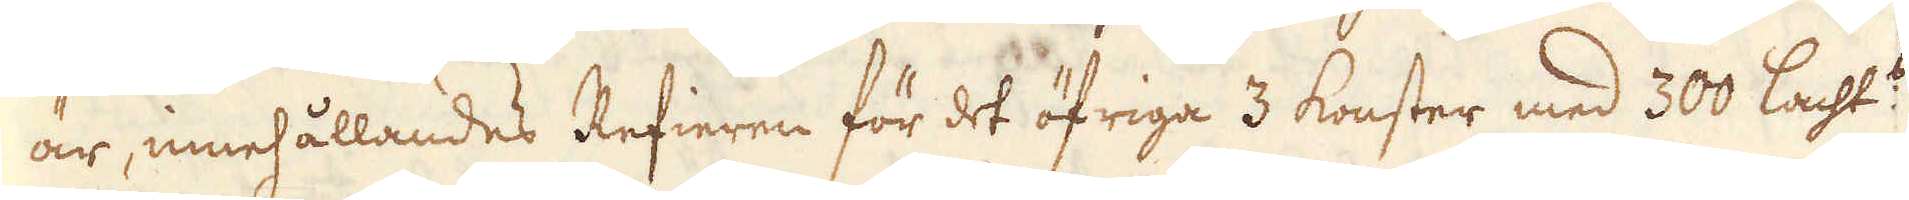är, innehållandes Refieren för det öfriga 3 konster med 300 lacht:s
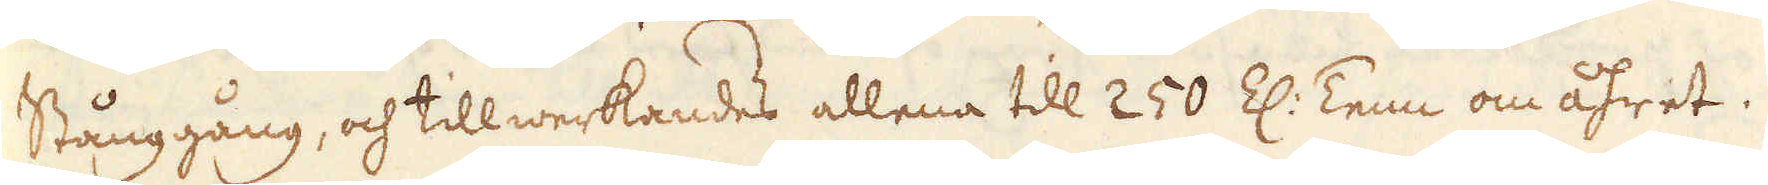Stånggång, och tillwerkandes allena till 250 Z: Tenn om åhret.
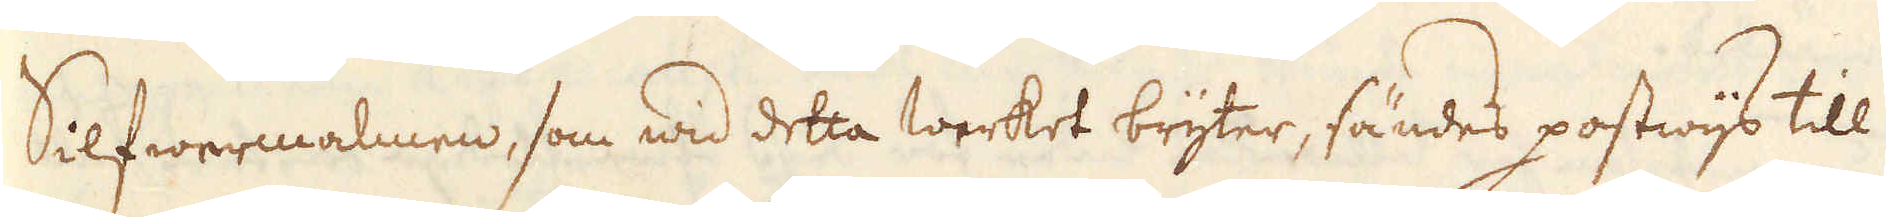Silfwermalmen, som wid detta werket bryter, sändes postwijs till
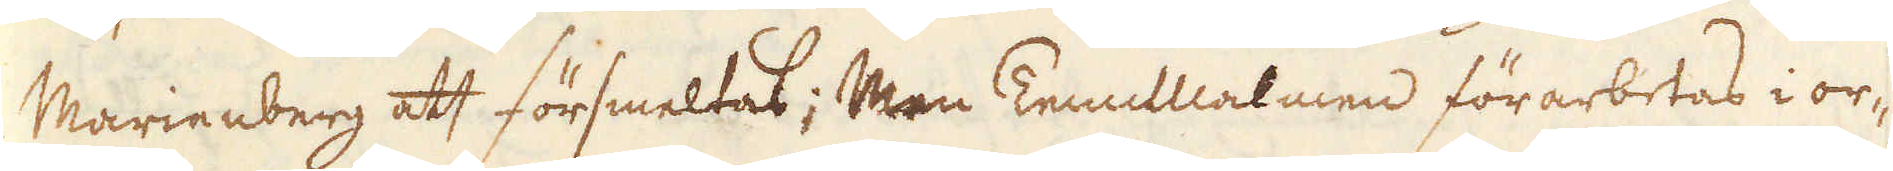Marienberg att försmeltas; Men TennMalmen förarbetas i or-
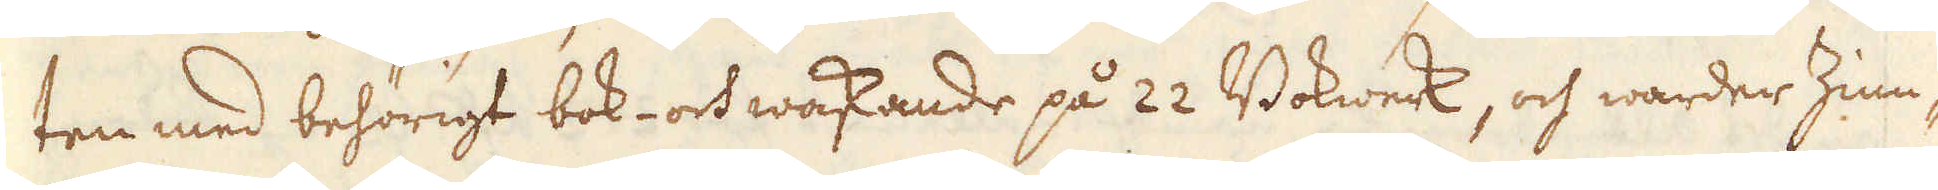ten med behörigt bok- och waskande på 22 Bokwerk, och warder Zinn-
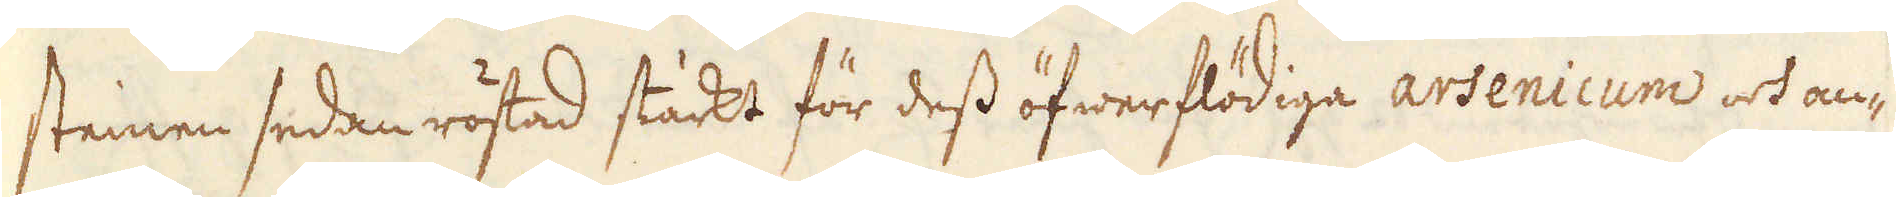steinen sedan röstad stäckt för dess öfwerflödiga arsenicum och an-
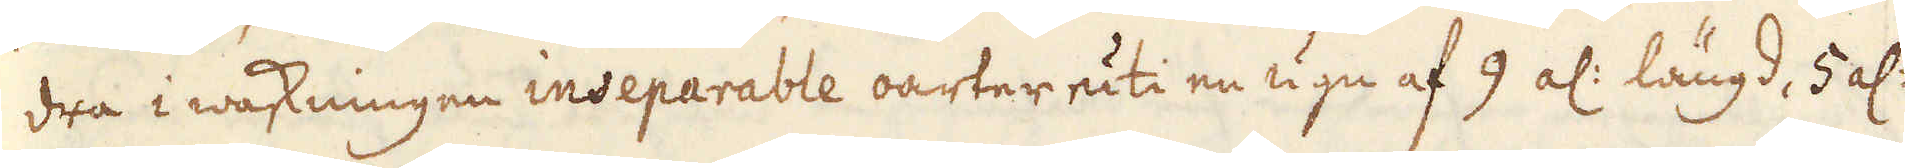dra i waskningen inseparable oarter uti en ugn af 9 al: längd, 5 al:
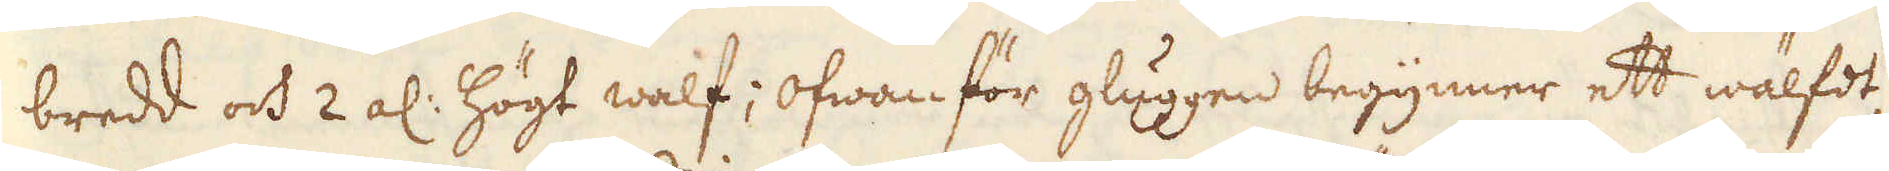bredd och 2 al: högt walf; ofwan för gluggen begynner ett wälfot
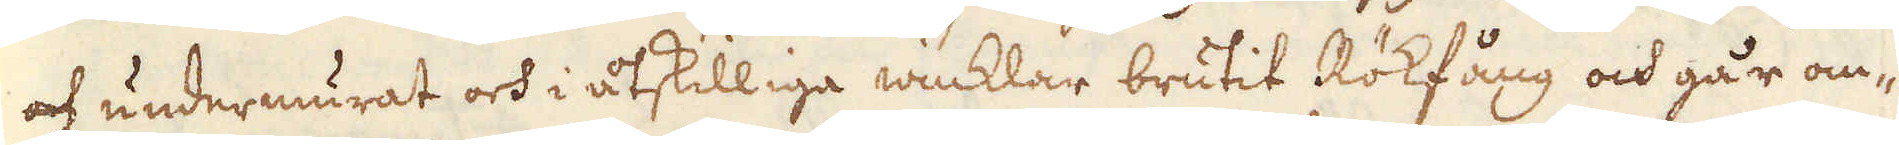och undermurat och i åtskilliga winklar brutit Rökfång och går om-
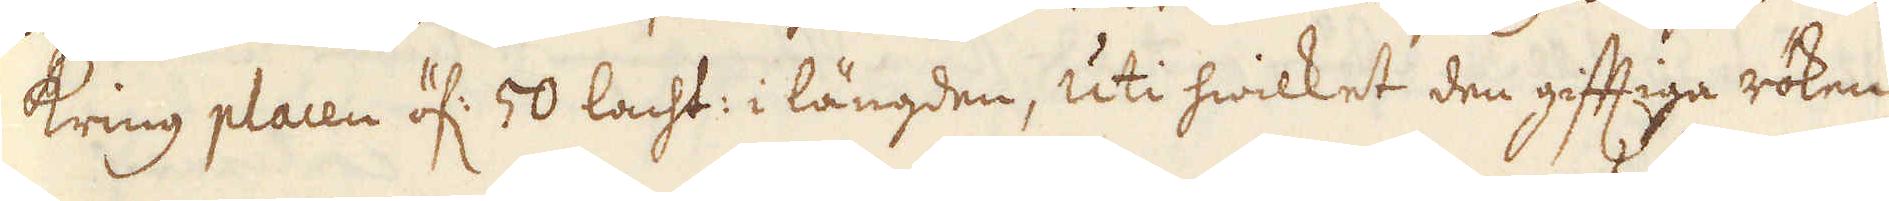kring placen öf: 50 lacht: i längden, uti hwilket den giftiga röken
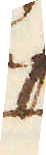uhr.
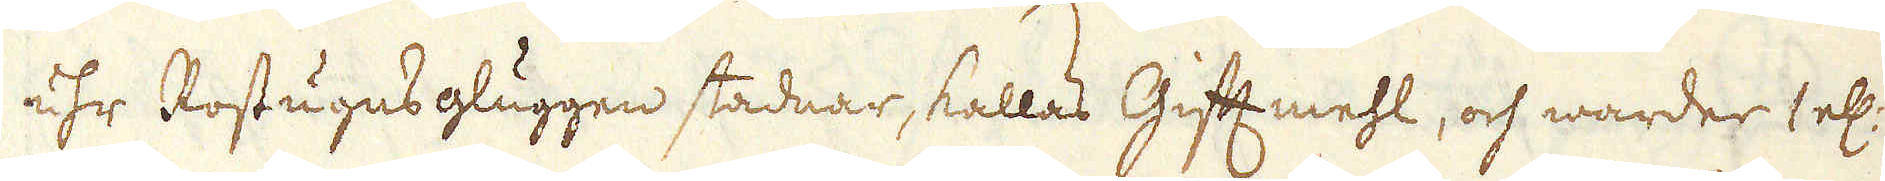uhr Rostugnsgluggen stadnar, kallas Giftmehl, och warder 1 el:
